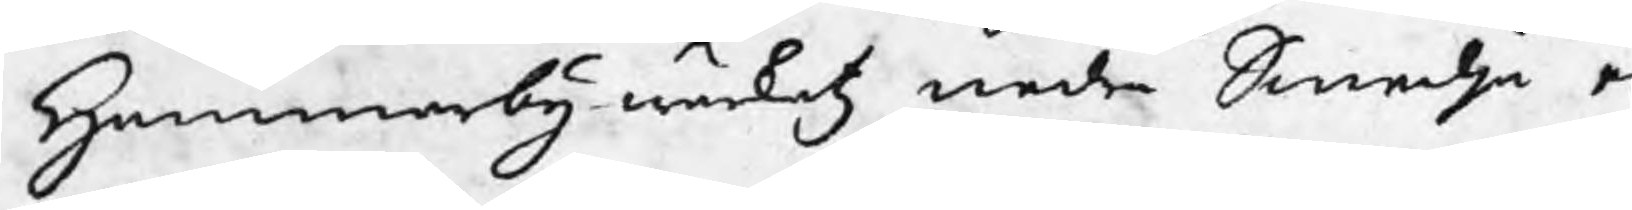Hammarby wärketz nedre Smedja e
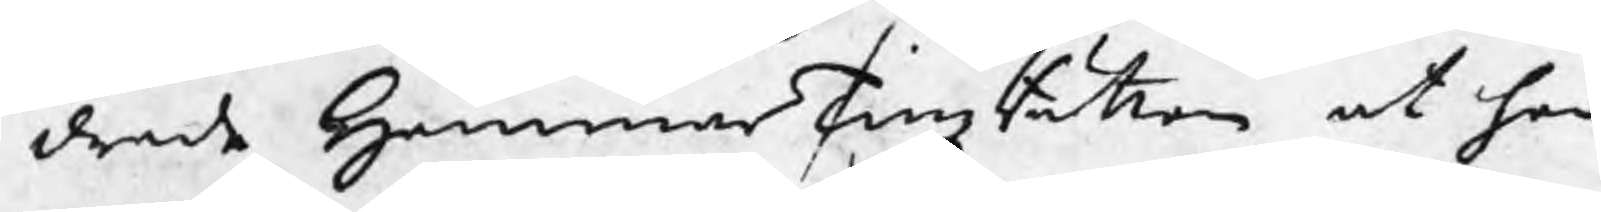drade HammarTingzRätten at han
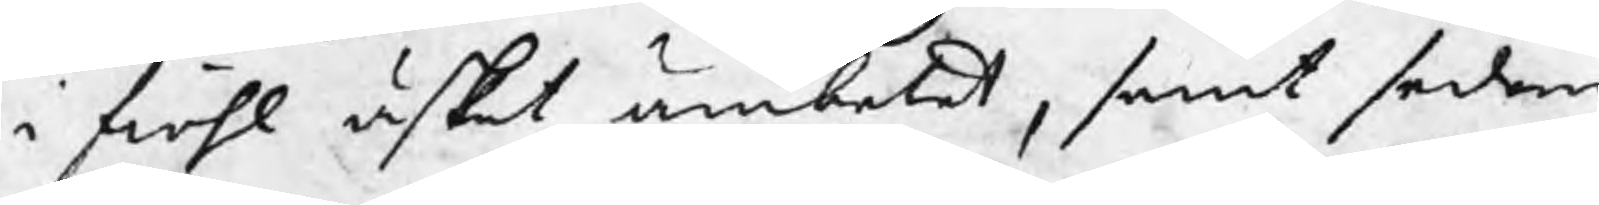i fiohl äskat ämbetet, samt sedan
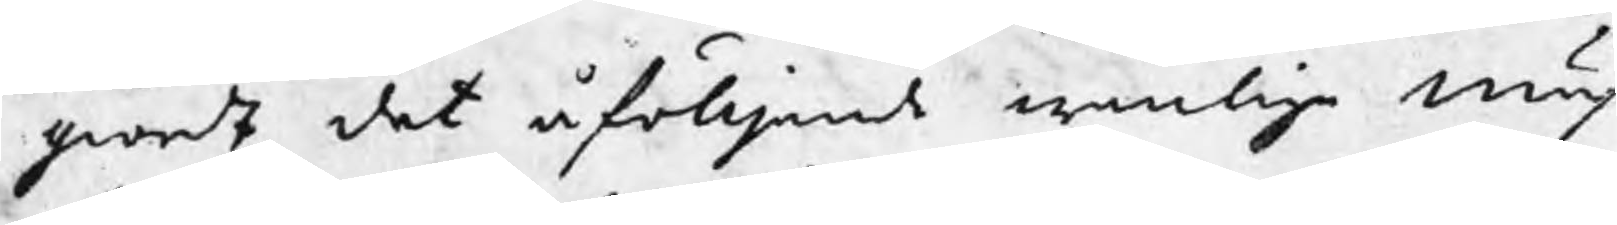giordt det åfölljande wanliga Mäs
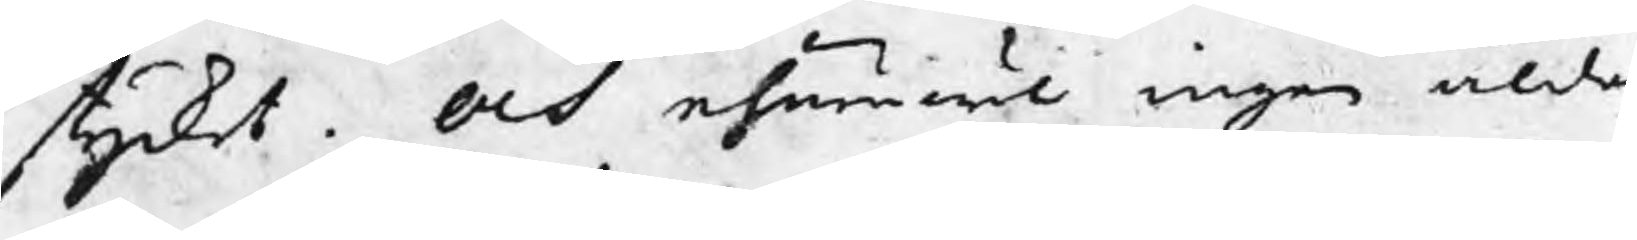stycket. Och ehuruwäl ingen ålder¬
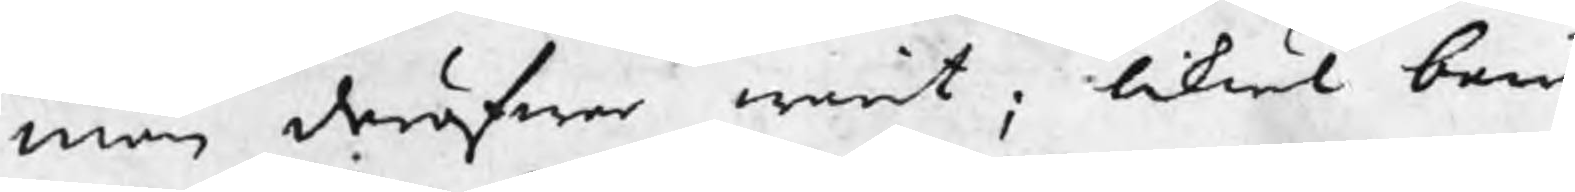man deröfwer warit, likwäl bem
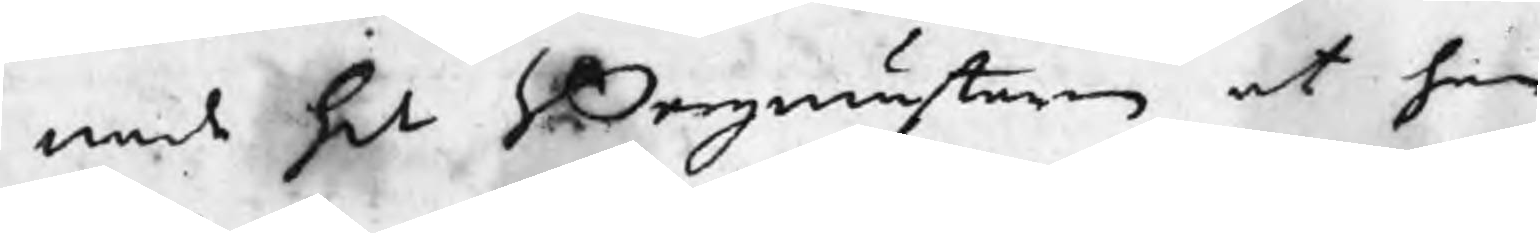nade Hr Bergmästaren at han
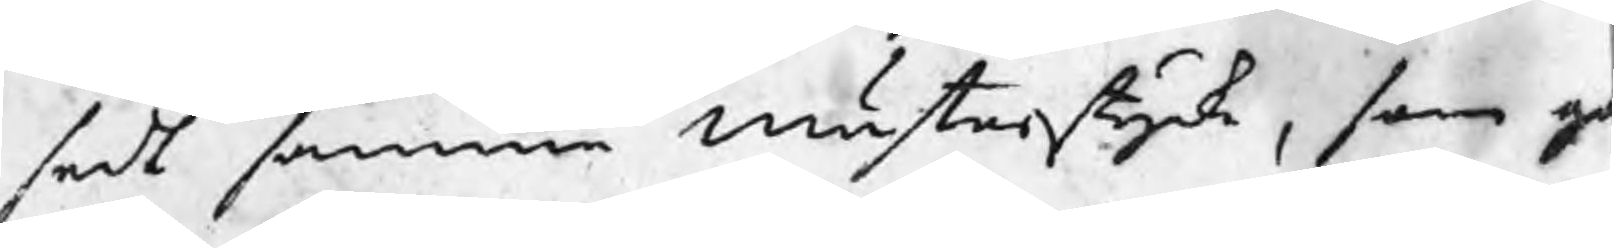sedt samma Mästerstycke, som go
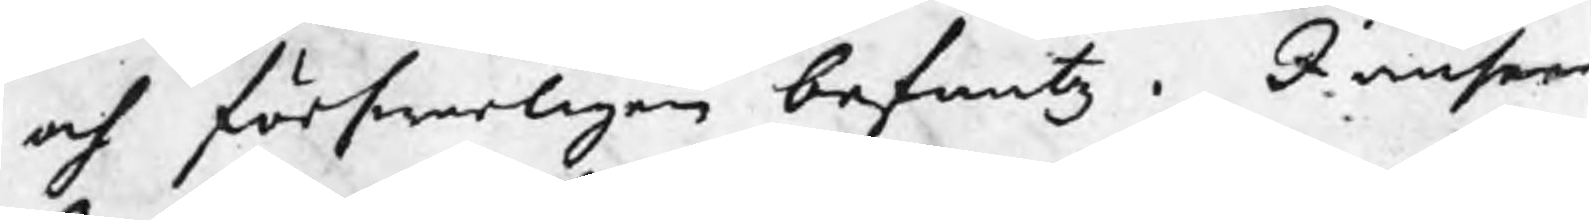och förswarligen befantz. I ansee
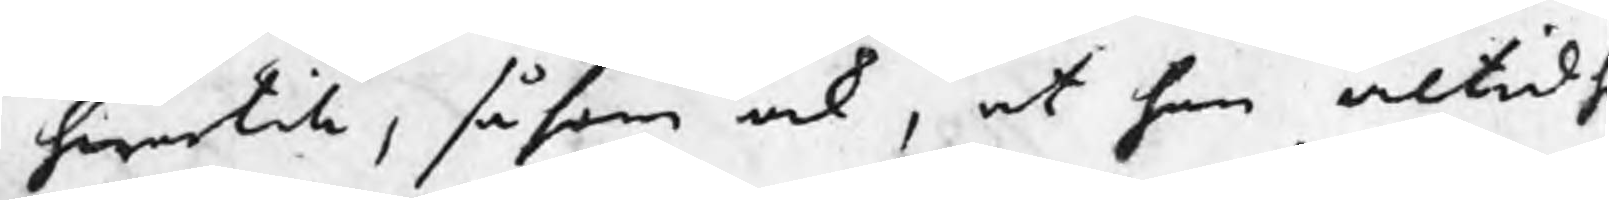hwartill, såsom ock, at han altid h
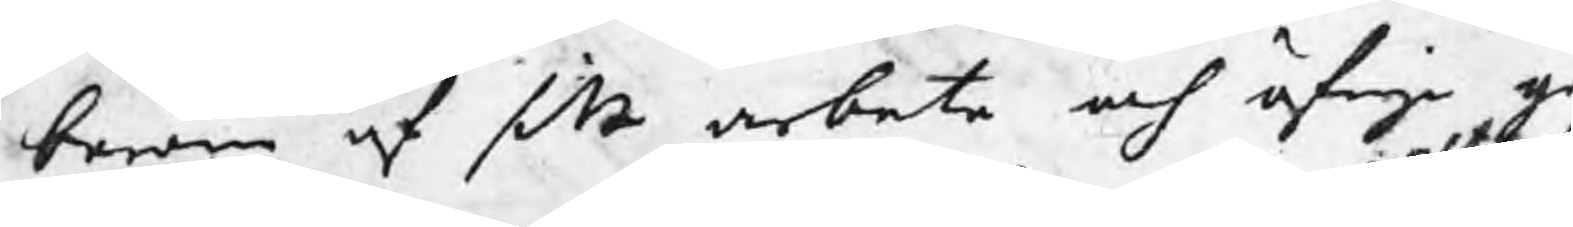beröm af sitt arbete och öfrige g
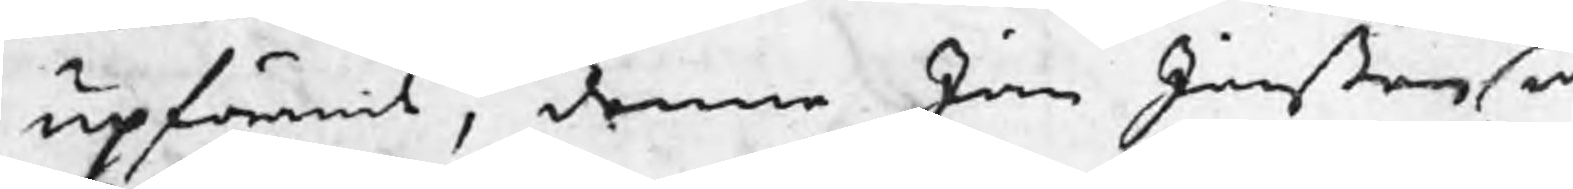upförande, denne Jan Janßon n
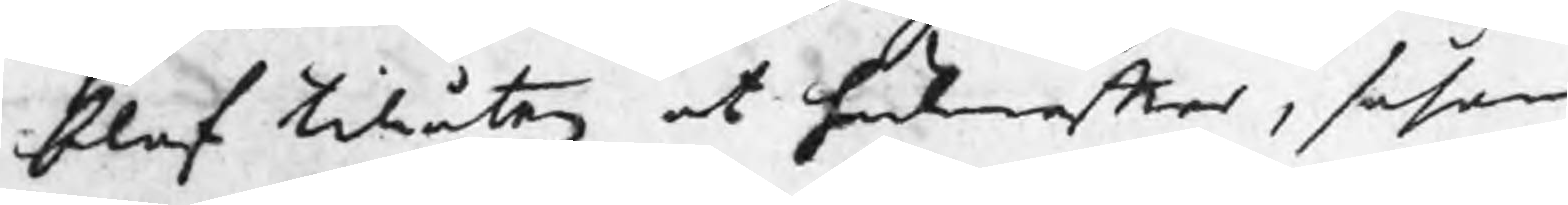blef tillåten at hädanefter, såsom
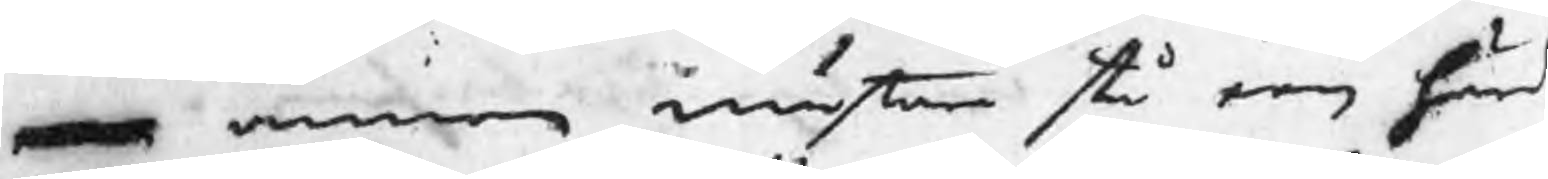en annor mästare stå een härd
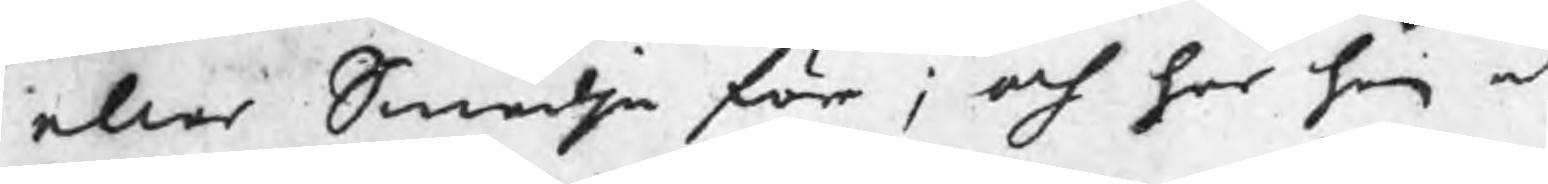eller Smedja för ; och har han at
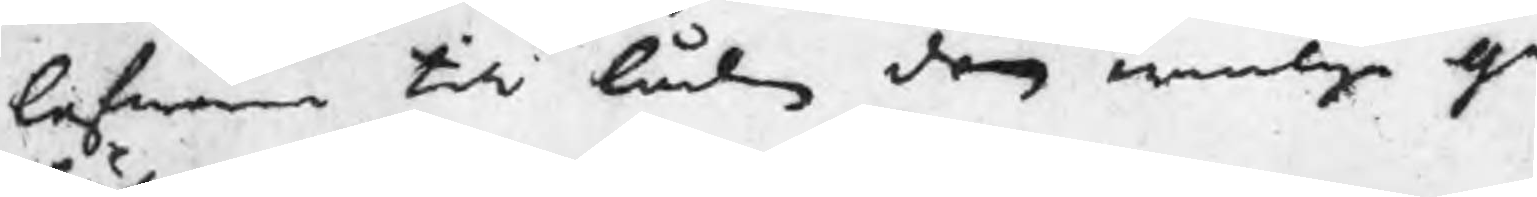lefwerera till lådan den wanliga ge¬
